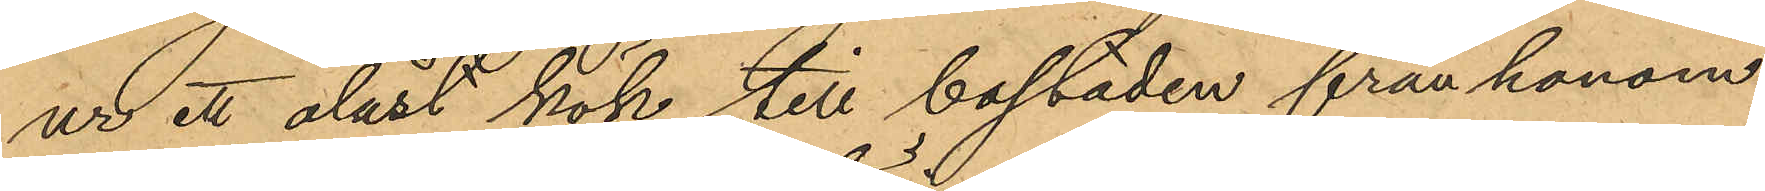ur ett olåst kök till bostaden från honom
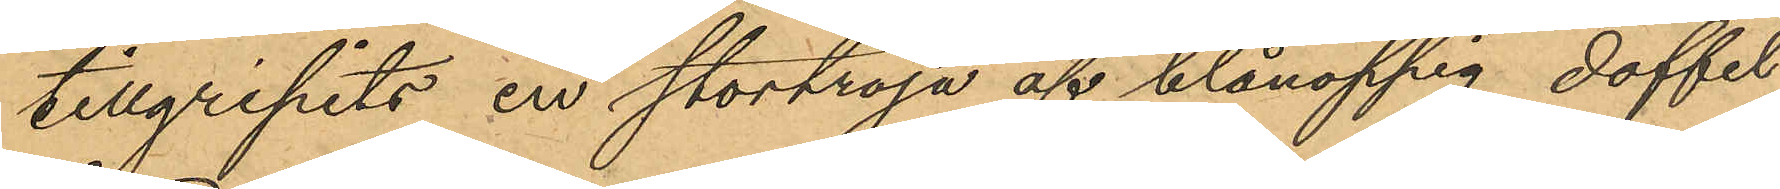tillgripits en stortröja af blånoppig doffel
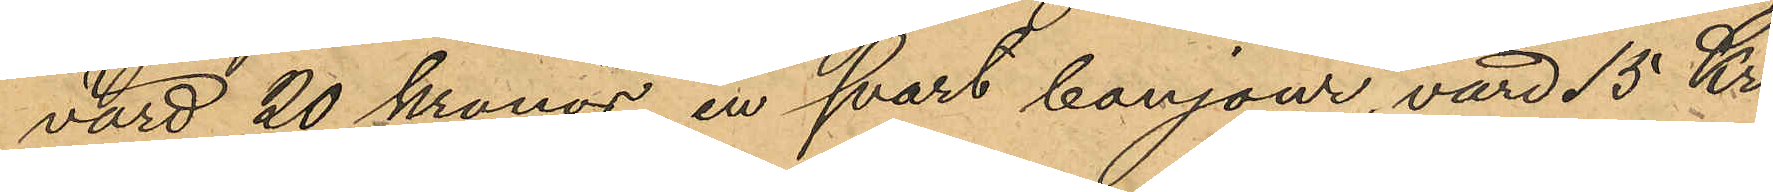värd 20 Kronor, en svart banjour, värd 15 Kr.,
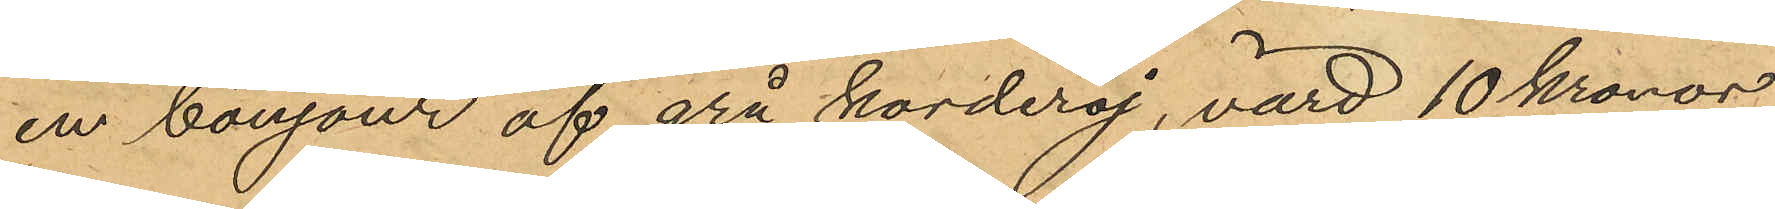en bonjour af grå korderoj, värd 10 kronor,
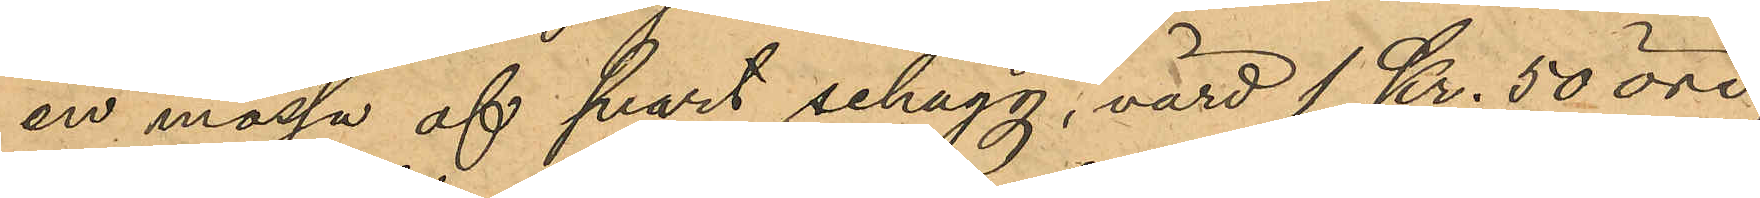en mössa af svart schagg, värd 1 Kr. 50 öre
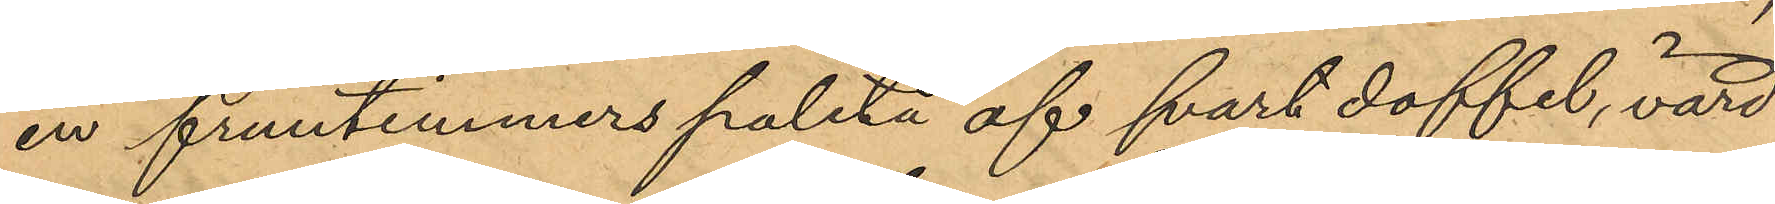en fruntimmers paletå af svart doffel, värd
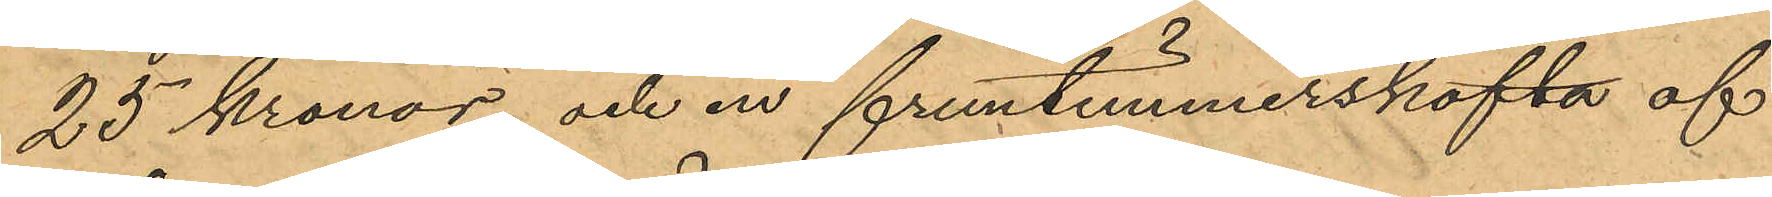25 kronor, och en fruntimmerskofta af
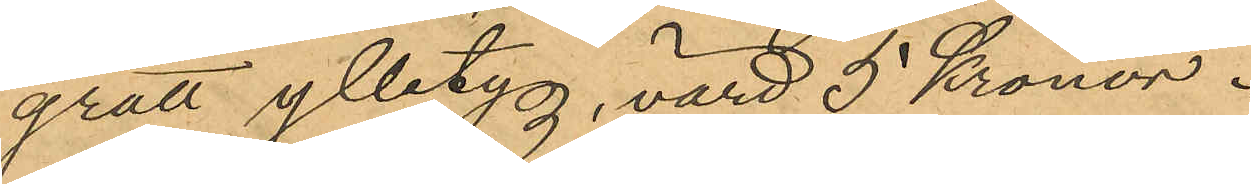grått ylletyg, värd 5 Kronor.
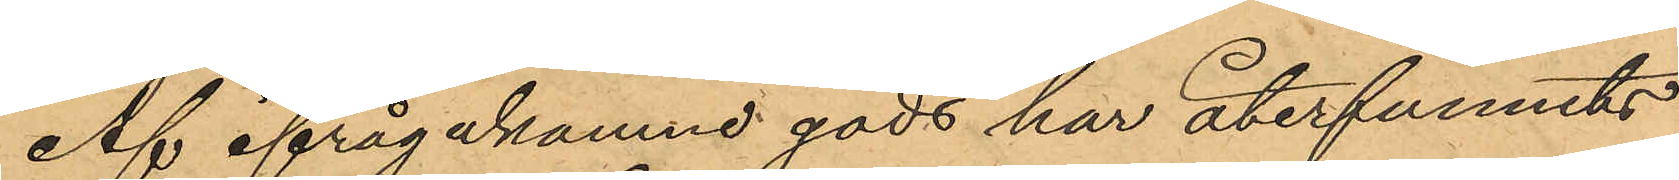Af ifrågakomne gods har återfunnits
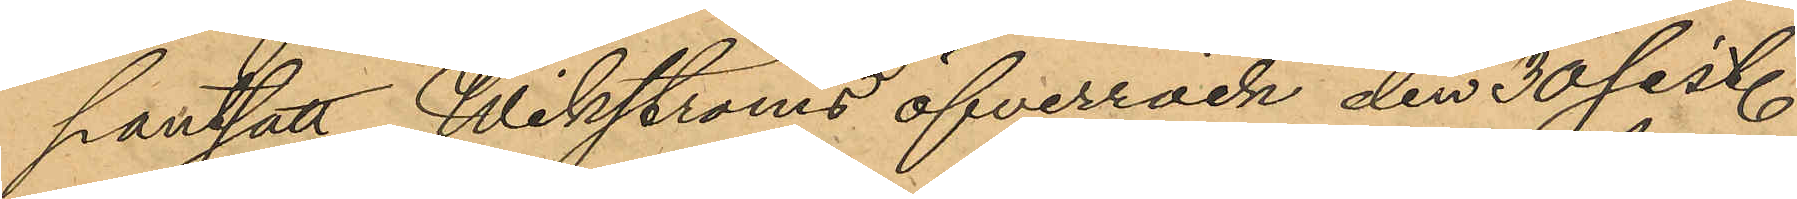pantsatt Wikströms öfverrock den 30 sist.
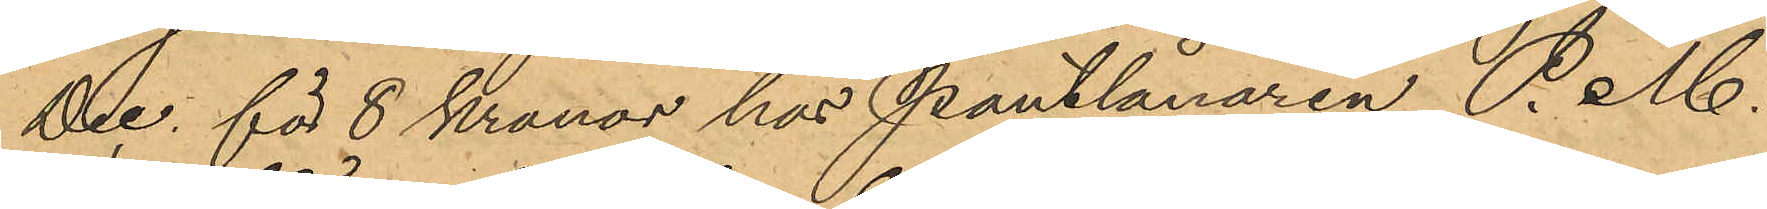Dec. för 8 Kronor hos Pantlånaren P. M.
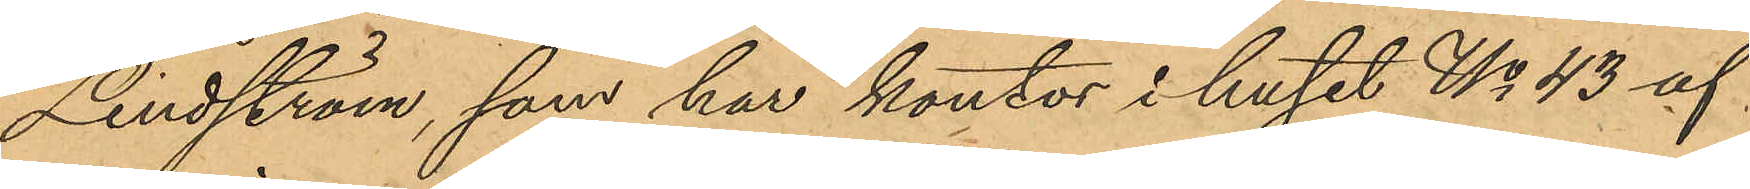Lindström, som har kontor i huset No 43 af
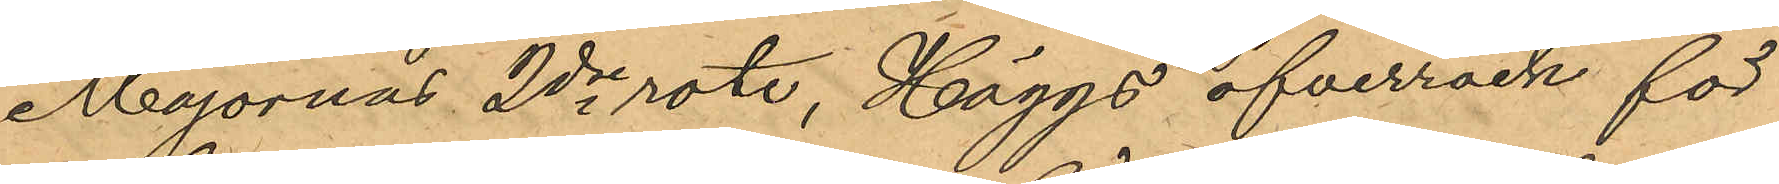Majornas 2dre rote, Häggs öfverrock för
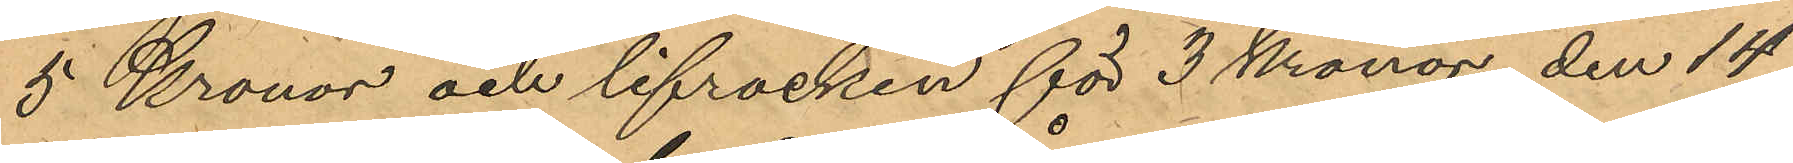5 Kronor och lifrocken för 3 Kronor den 14
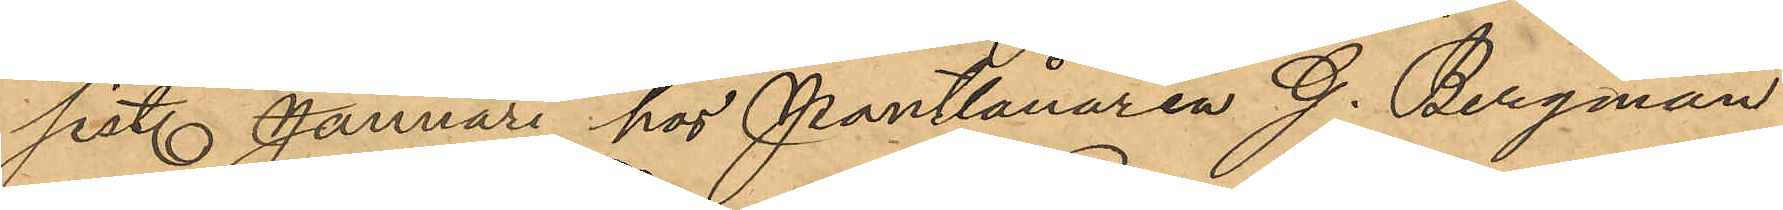sist. Januari hos Pantlånaren G. Bergman
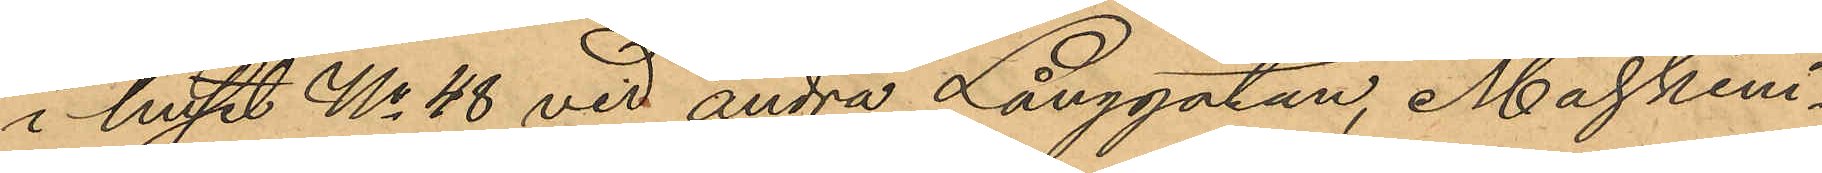i huset No 48 vid andra Långgatan, Maskini¬
